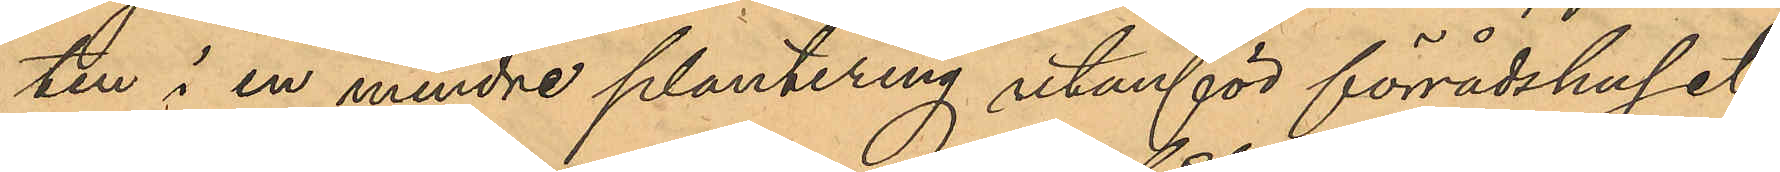ten i en mindre plantering utanför förrådshuset
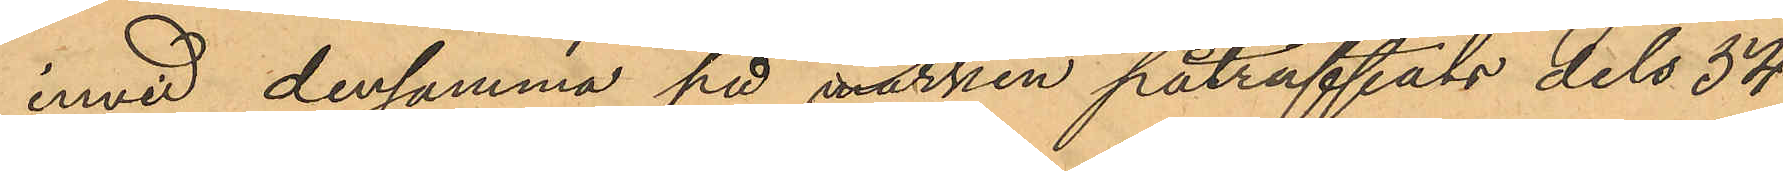invid densamma på marken påträffats dels 54
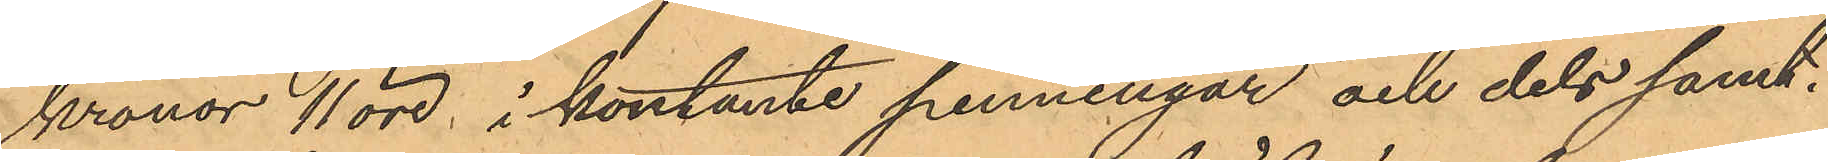kronor 11 öre, i kontante penningar och dels samt¬
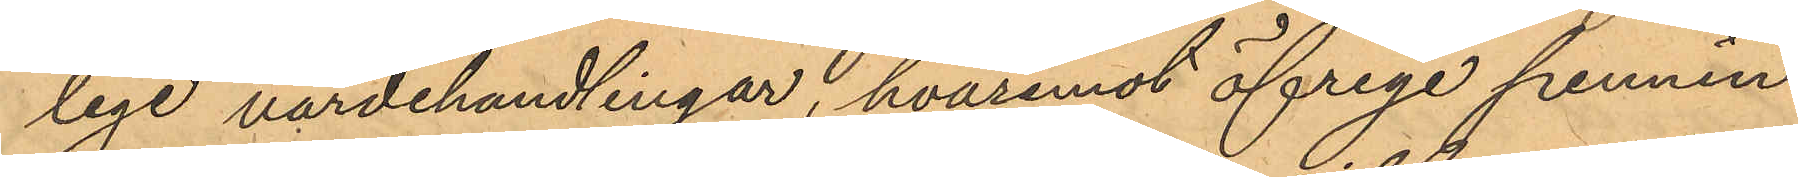lige värdehandlingar, hvaremot öfriga pennin¬
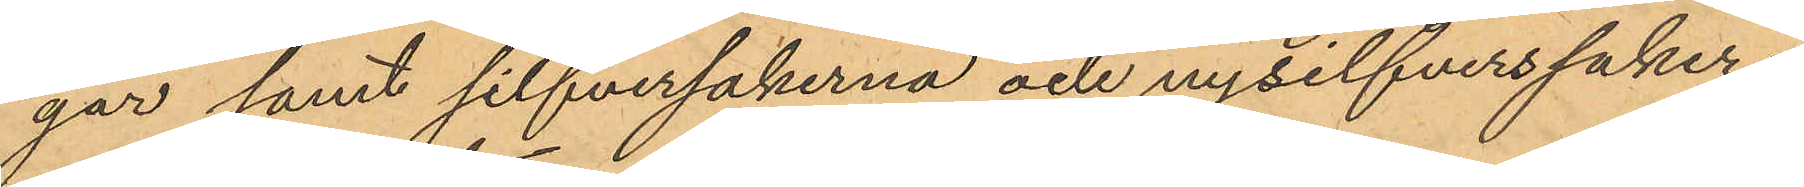gar samt silfversakerna och nysilfverssaker¬
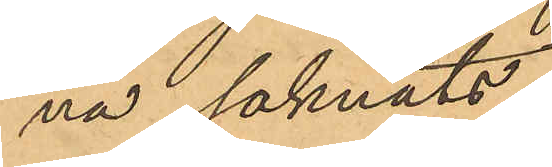na saknats.
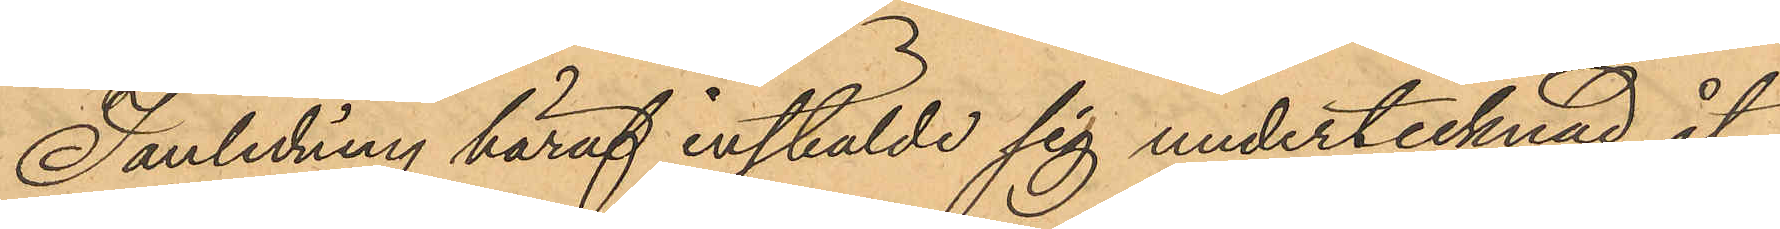I anledning häraf instälde sig undertecknad åt¬
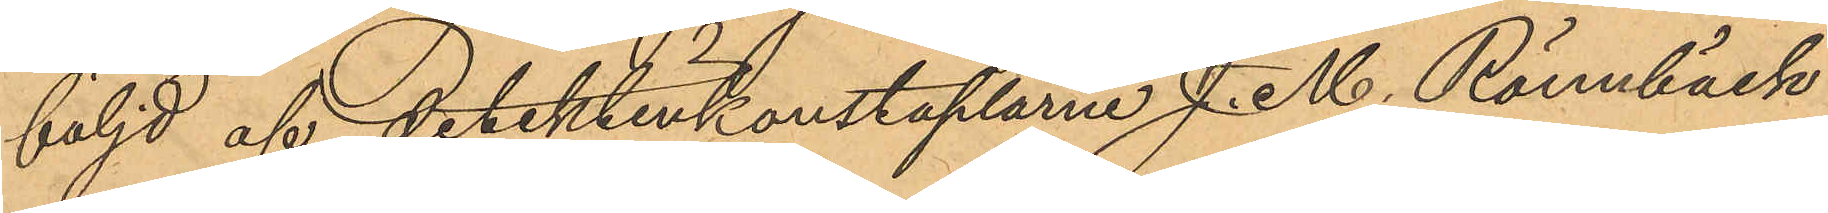följd af detektivkonstaplarne J. M. Rönnbäck
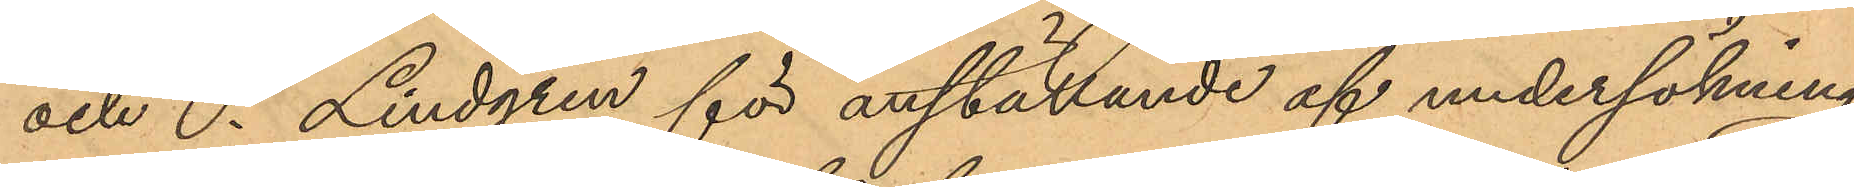och C. Lindgren för anställande af undersökning
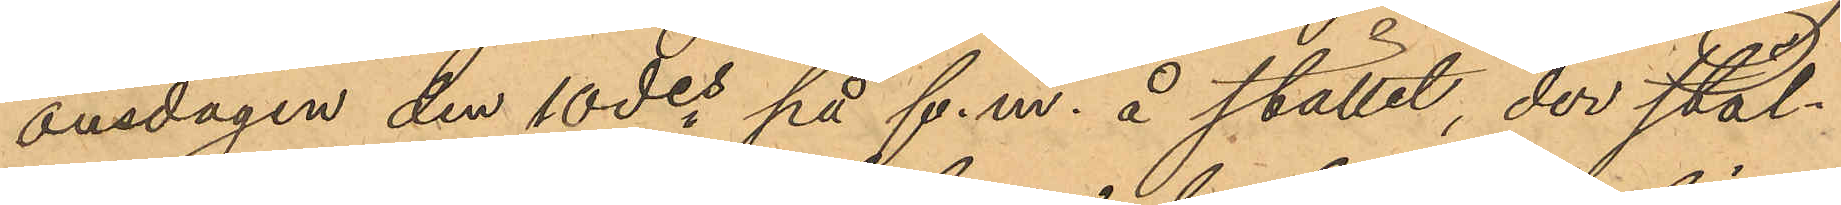onsdagen den 10 des på f.m. å stället, der stöl¬
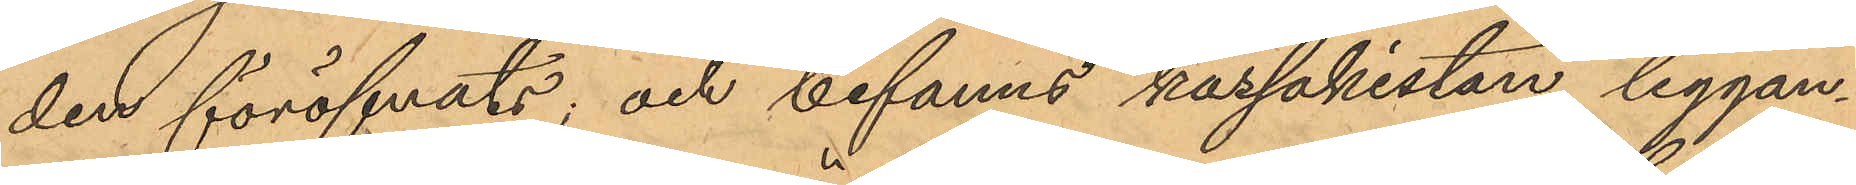den föröfvats; och befanns kassakistan liggan¬
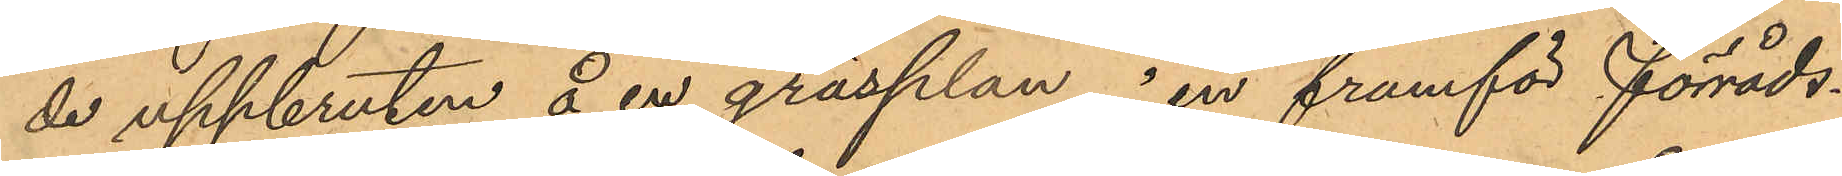de uppbruten å en gräsplan i en framför förråds¬
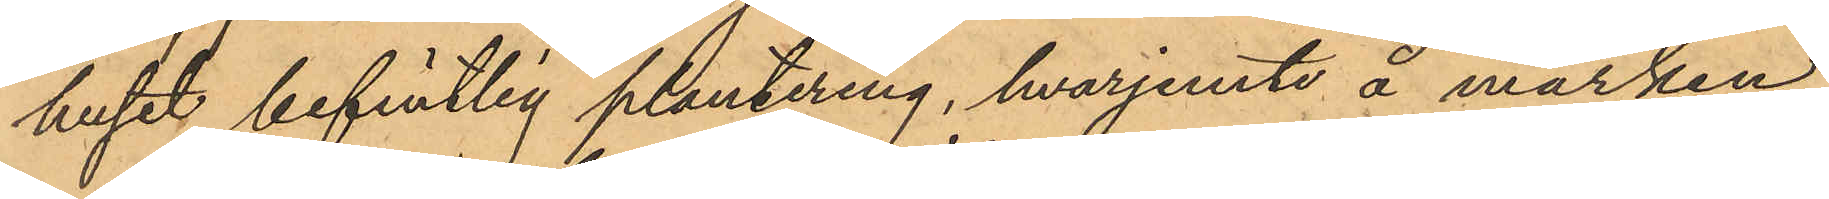huset befintlig plantering, hvarjemte å marken
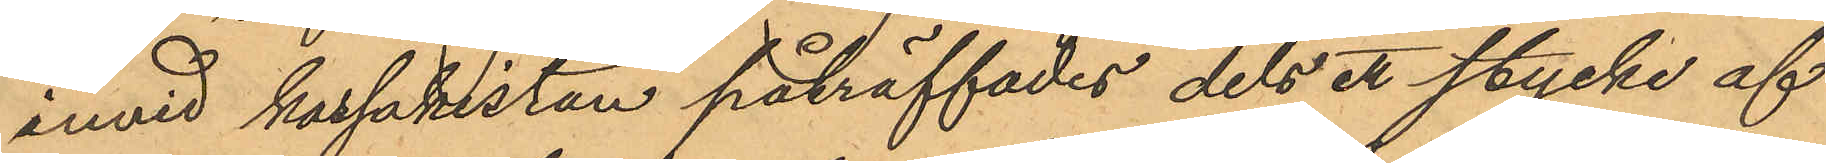invid kassakistan påträffades dels et stycke af
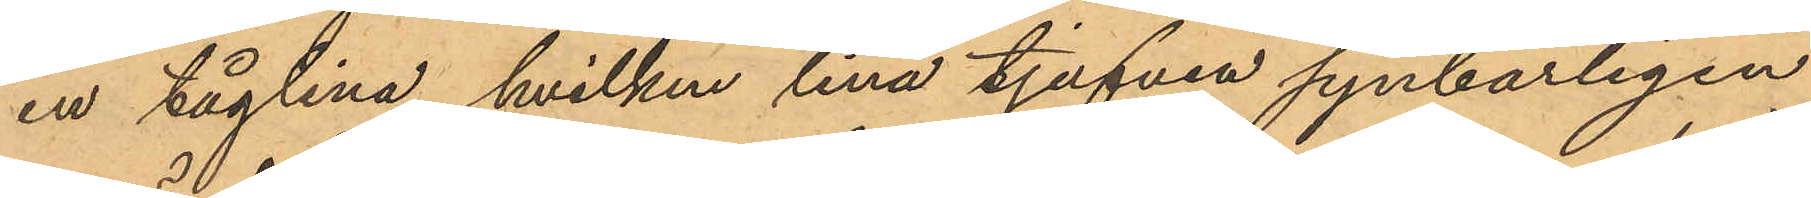en tåglina, hvilken lina tjufven synbarligen
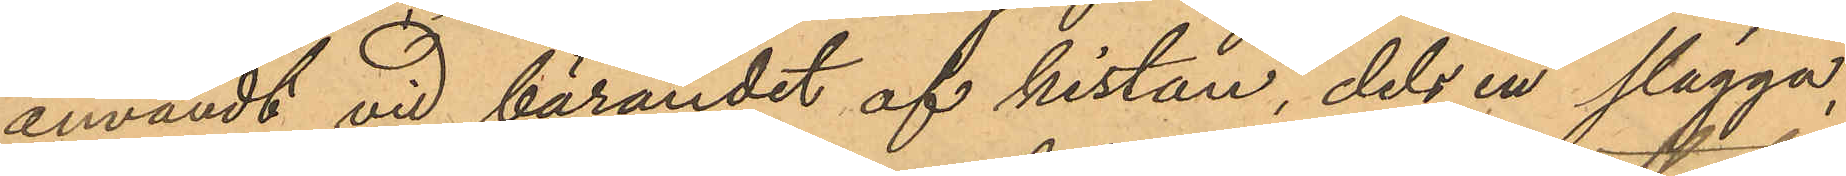användt vid bärandet af kistan, dels en slägga,
